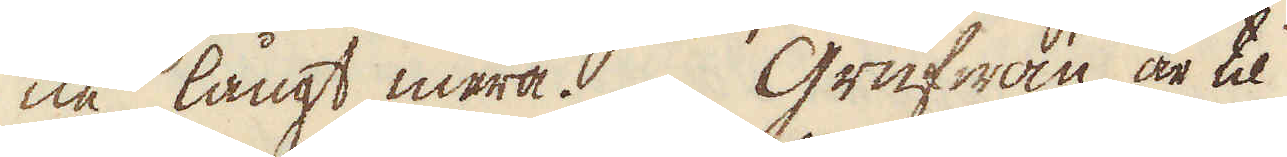ne långt mera. Grufwan är til
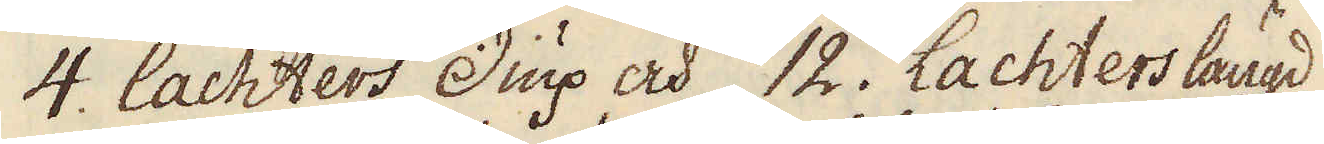4. lachters diup och 12. Lachters längd
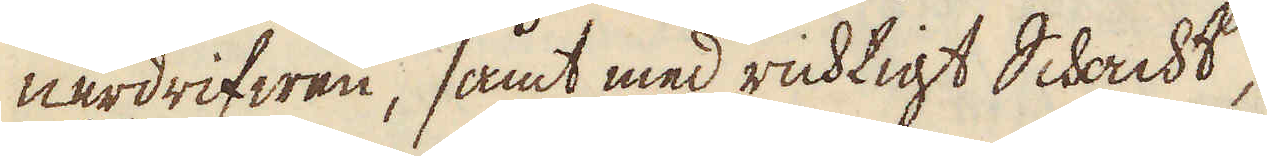nerdrifwen, samt med richtigt Schacht,
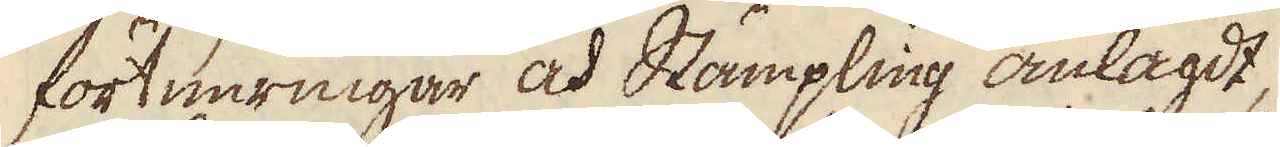fortimringar och Stämpling anlagdt,
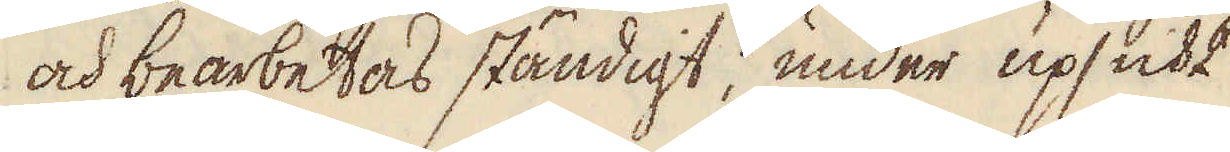och bearbetas ständigt, under upsicht
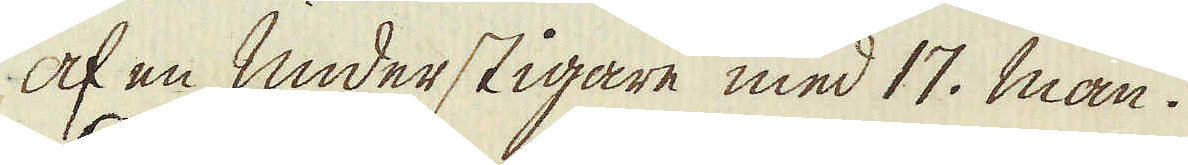af en Understigare med 17. man.
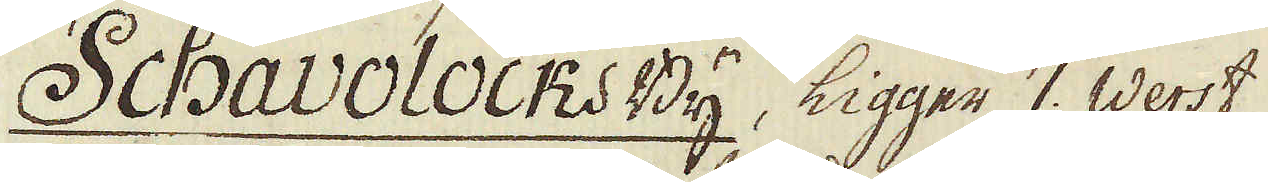Schavolocks By, ligger 7. Werst
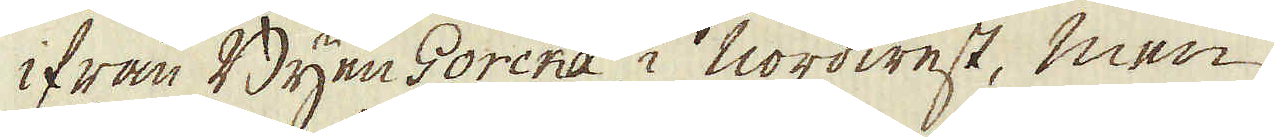ifrån Byen Gorcka i nordwest, men
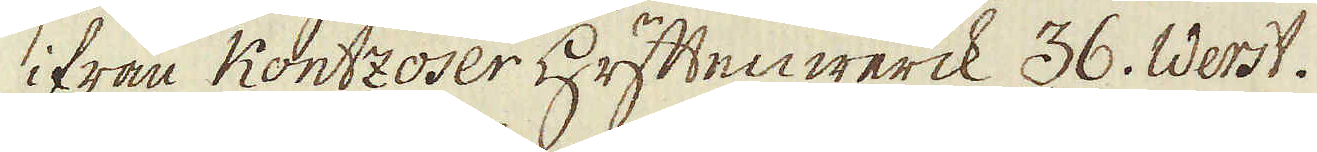ifrån Kontzoser Hyttenwerck 36. Werst.
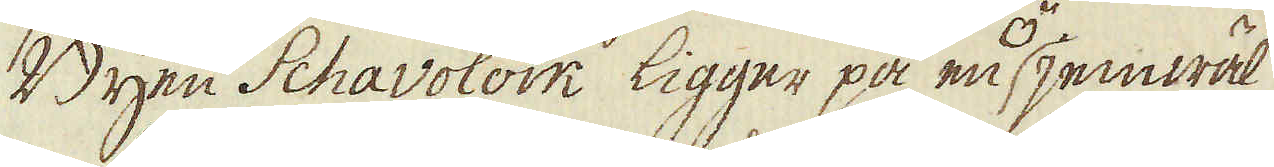Byen Schavolock ligger på en ö, jemwäl
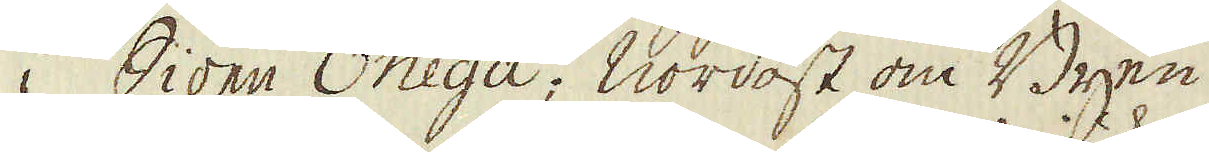i Siöen Onega; nordost om Byen,
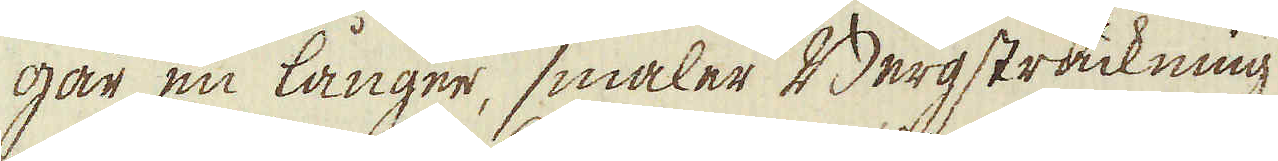går en långer, smaler Bergsträckning
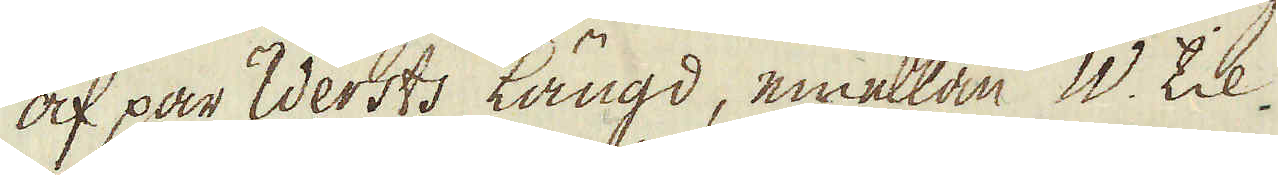af par Wersts Längd, emellan W. til
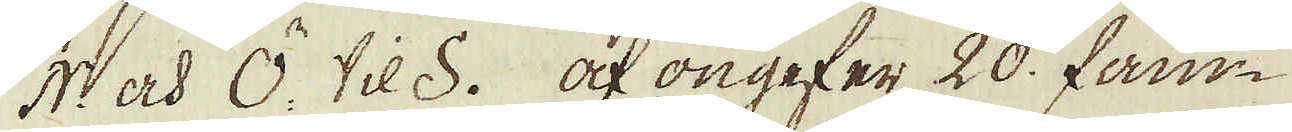N och Ö. til S. af ongefer 20. fam-
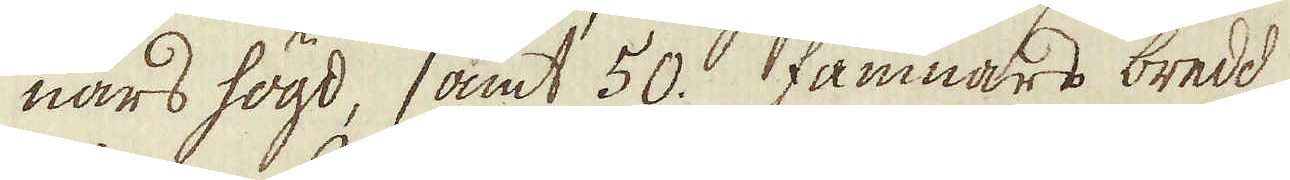nars högd, samt 50. famnars bredd
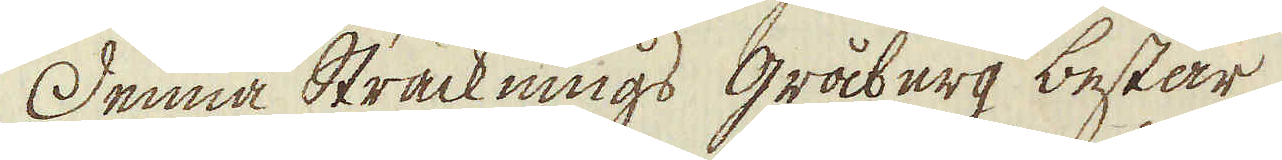Denna Sträcknings gråberg består
